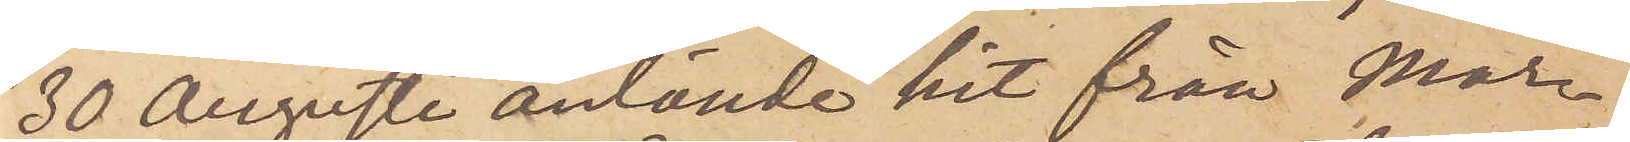30 Augusti anlände hit från Mar¬
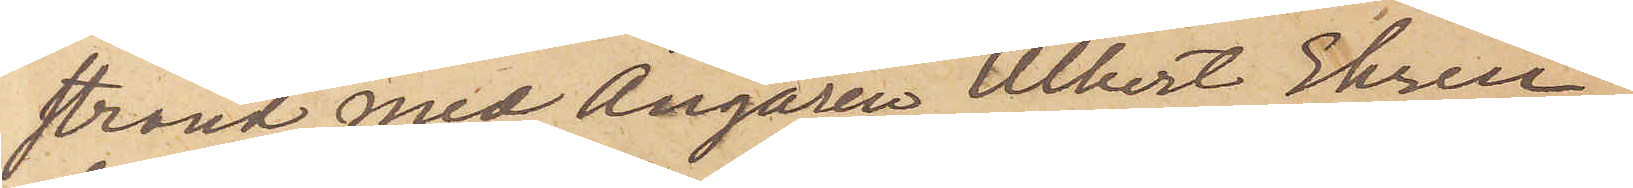strand med Ångaren Albert Ehren¬
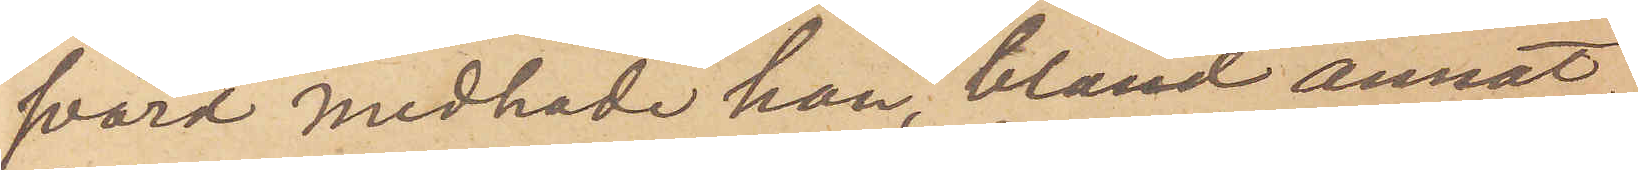svärd medhade han, bland annat,
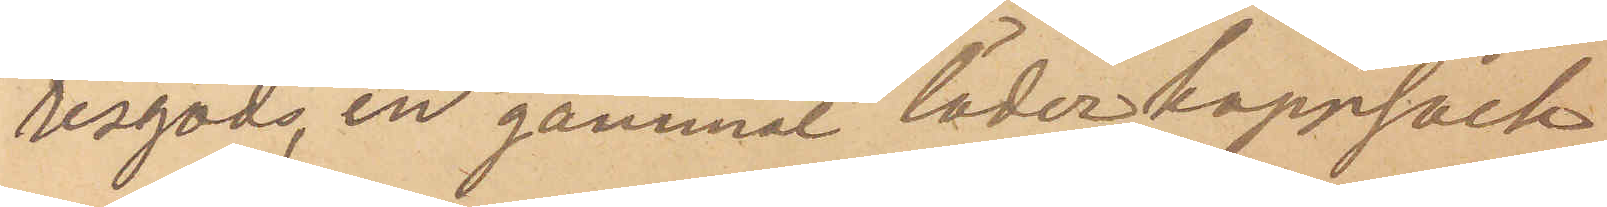resgods, en gammal läderkappsäck
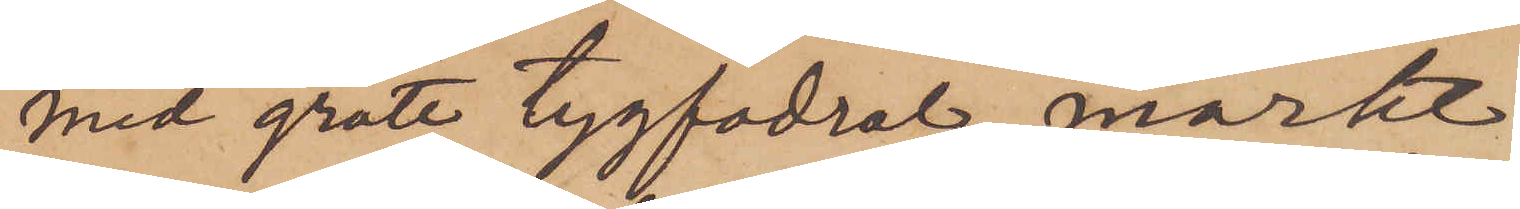med grått tygfodral, märkt
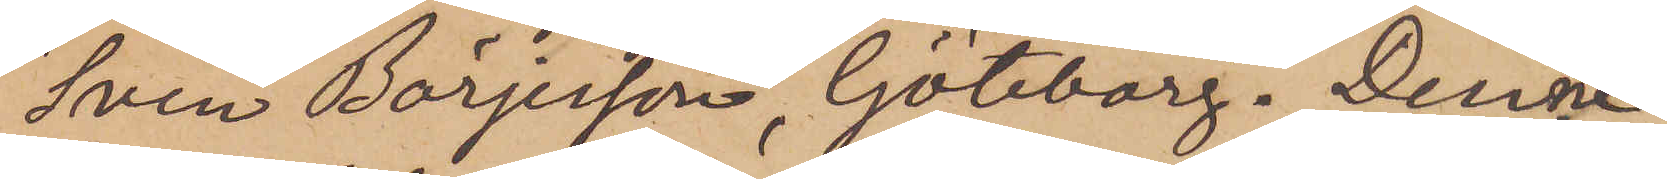"Sven Börjesson, Göteborg". Denne
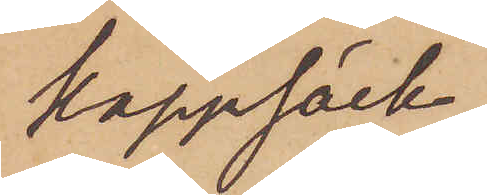kappsäck,
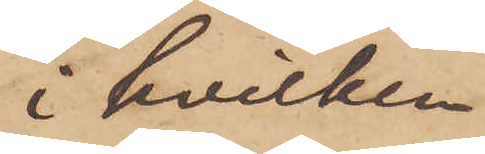i hvilken
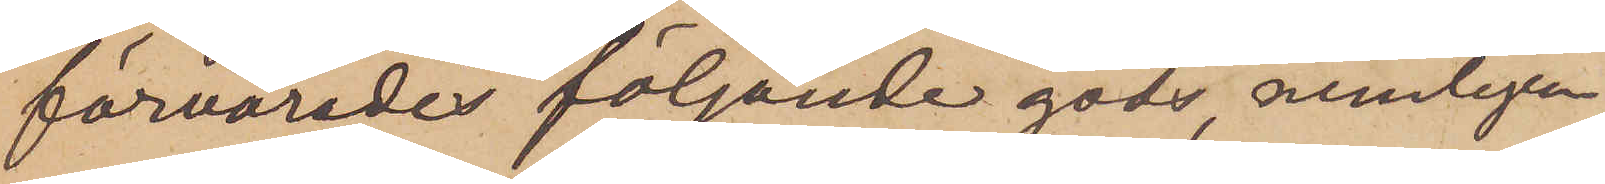förvarades följande gods, nemligen
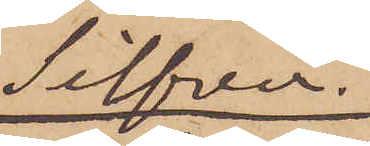Silfver
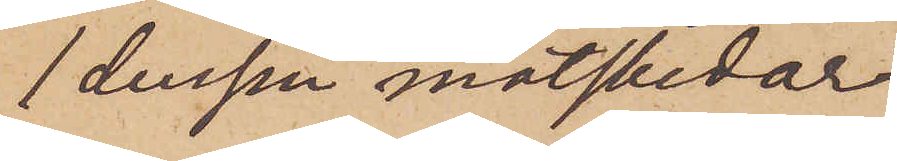1 dussin matskedar
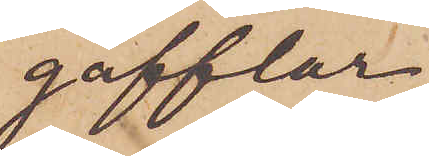gafflar
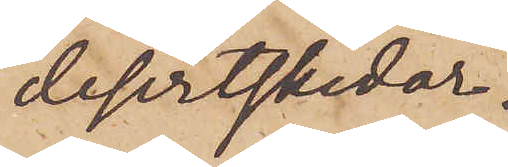dessertskedar.
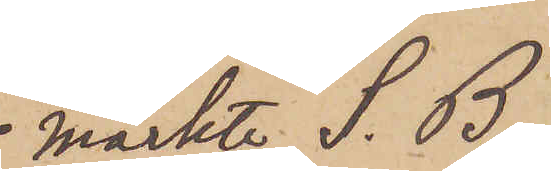 märkte S. B.
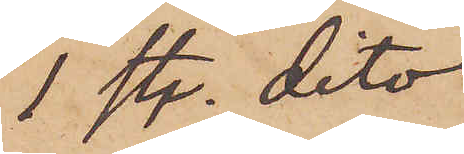1 st. dito
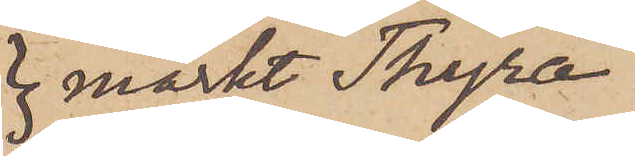märkt Thyra
